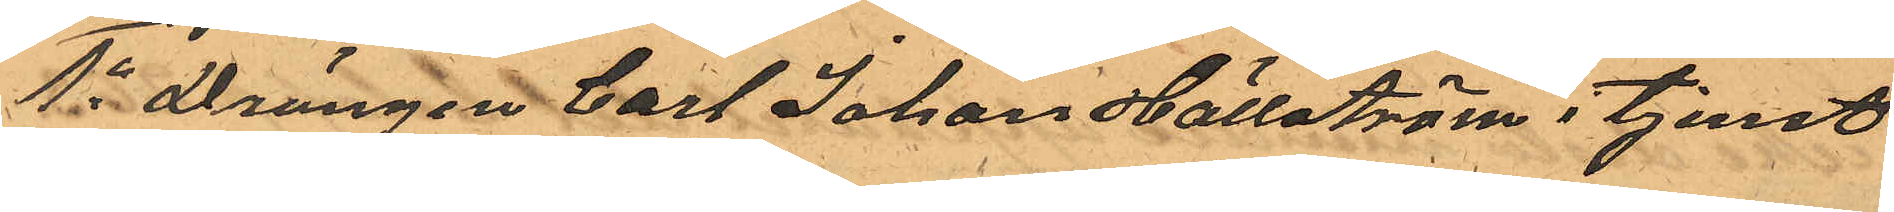1o drängen Carl Johan Hällström i tjenst
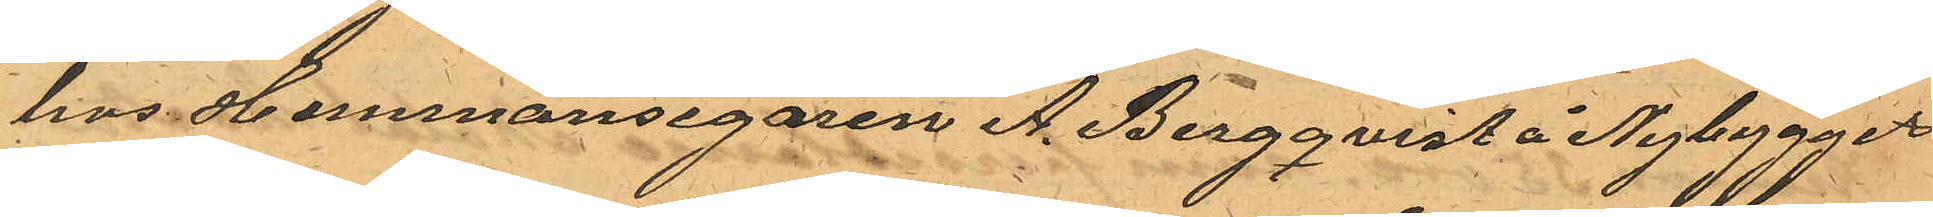hos Hemmansegaren A. Bergqvist å Nybygget
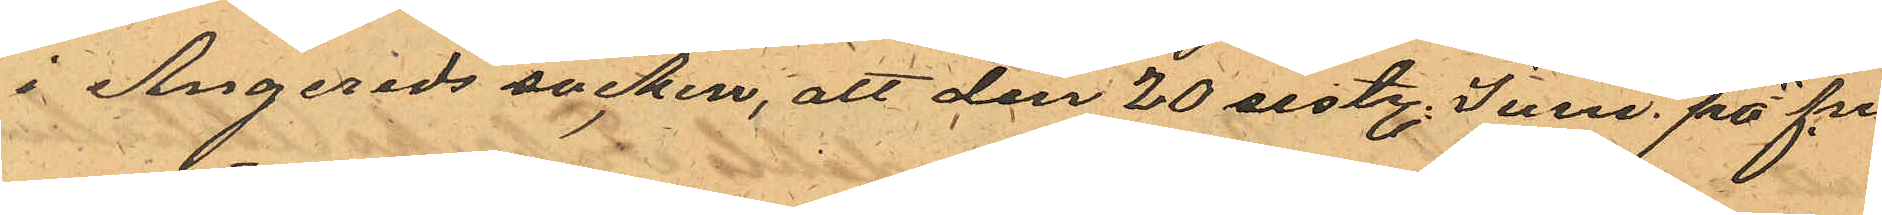i Angereds socken att den 20 sistl. Juni. på f.m.
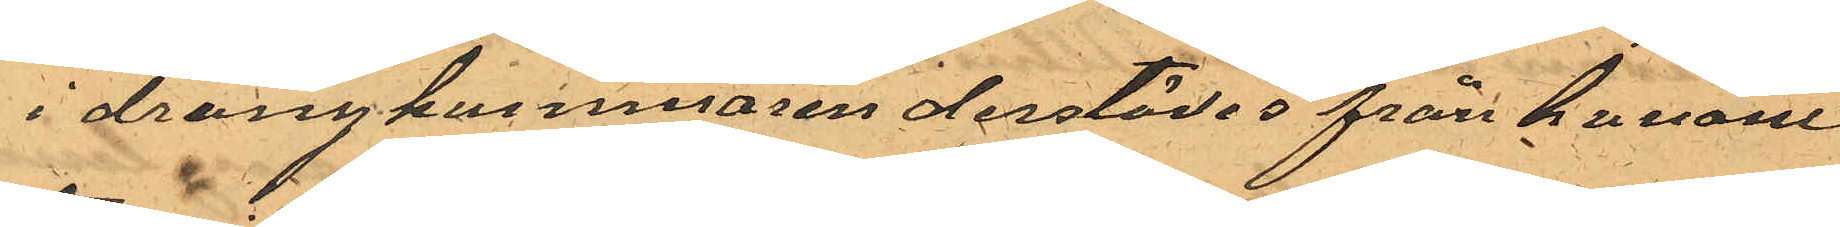i drängkammaren derstädes från honom
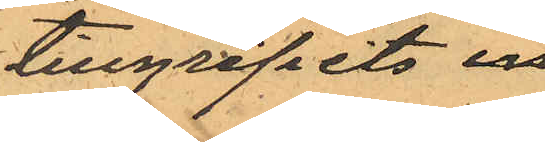tillgripits en
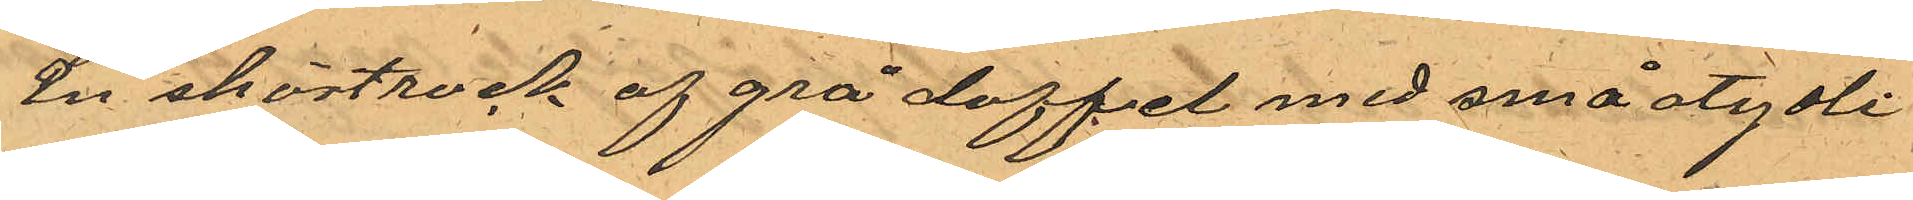En skörtrock af grå doffel med små otydli¬
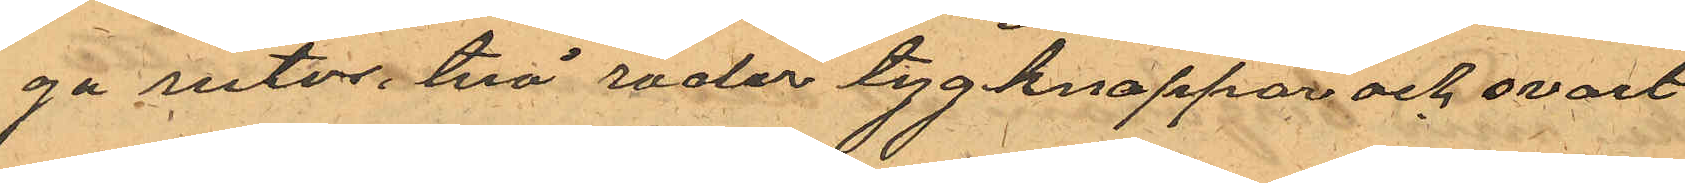ga rutor, två rader tygknappar och svart
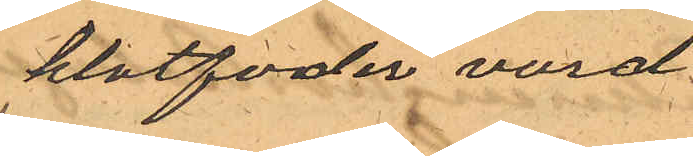klotfoder vard
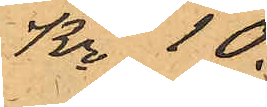Kr 10
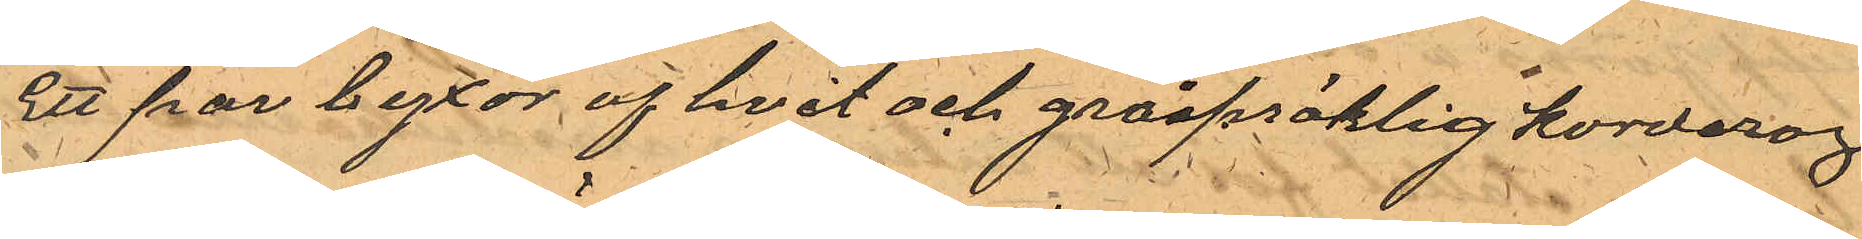Ett par byxor af hvit och gråspäklig korderoj
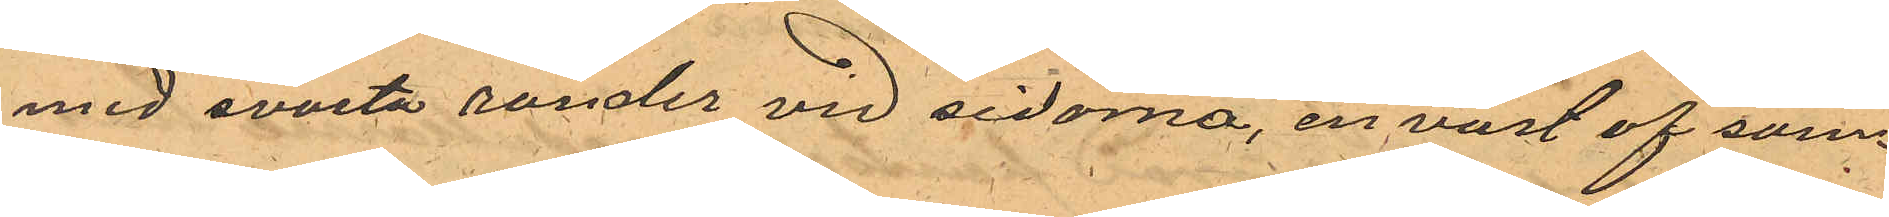med svarta ränder vid sidorna, en väst af sam¬
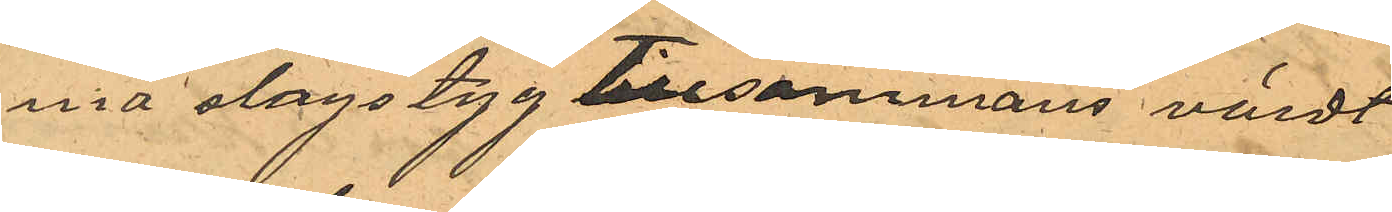na slags tyg tillsammans värdt
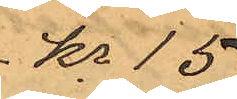Kr 15
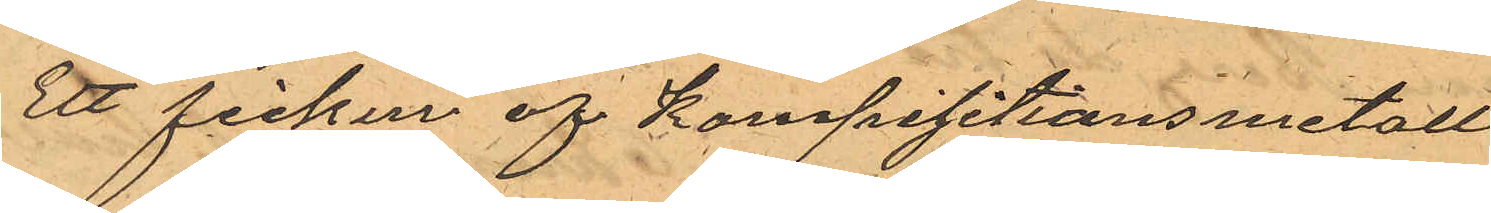Ett fickur af Kompositionsmetall
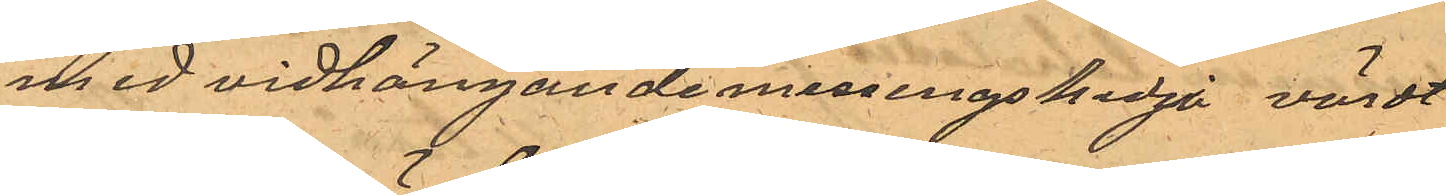med vidhängande messingskedja värdt
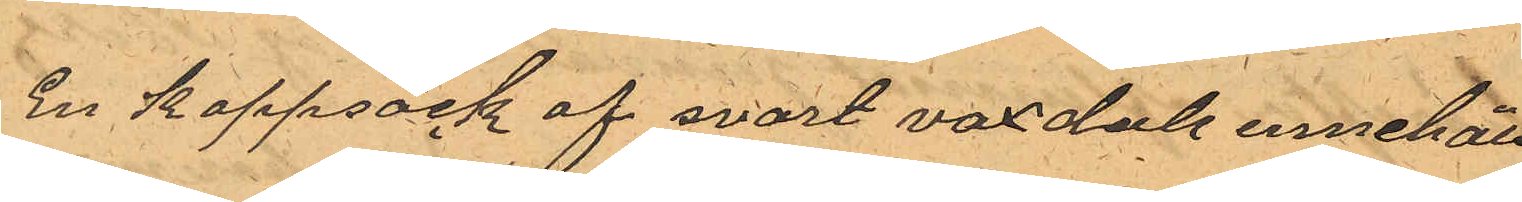En kappsäck af svart vaxduk innehål¬
